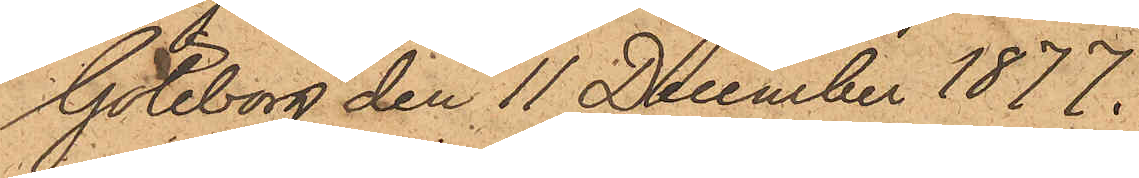Göteborg den 11 December 1877.
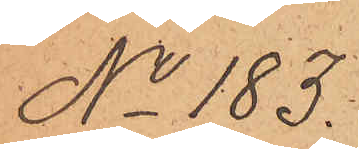No 183.
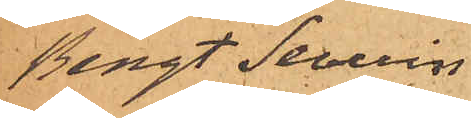Bengt Severin
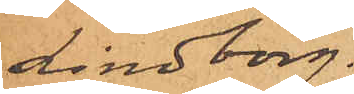Lindborg.
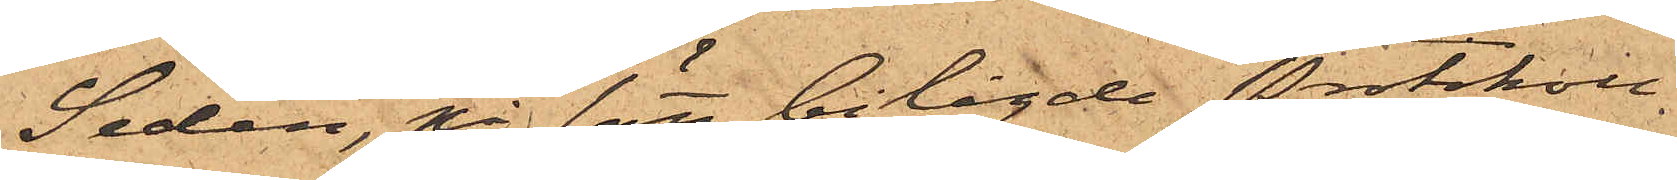Sedan, på sätt bilagde protokoll
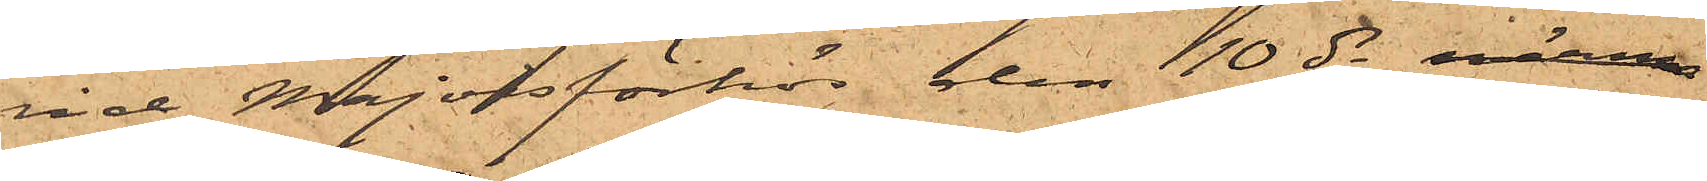vid Majorsförhör den 10 ds närma
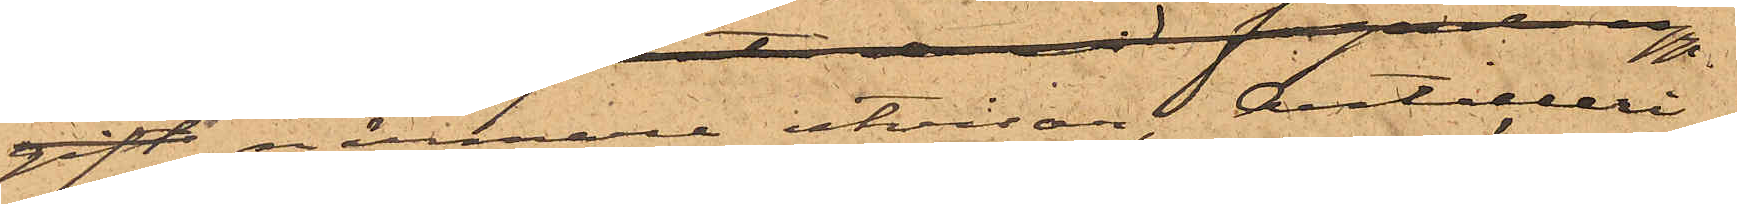närmare utvisar, Artilleri¬
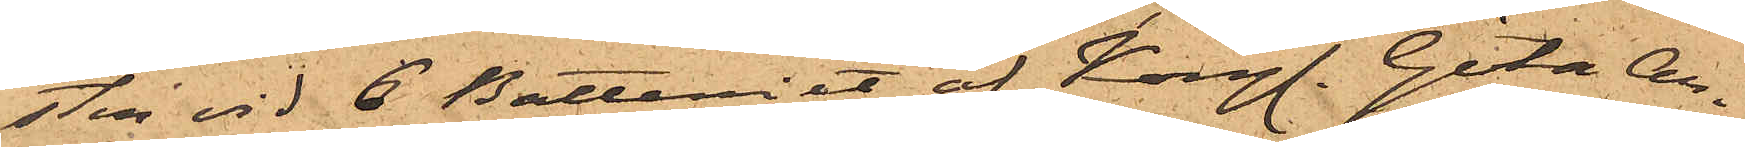sten vid 6 Batteriet af Kongl. Göta Ar¬
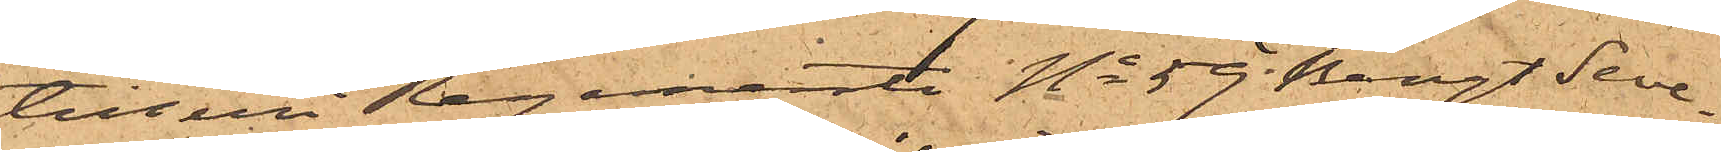tilleri Regemente No 59  Bengt Seve¬
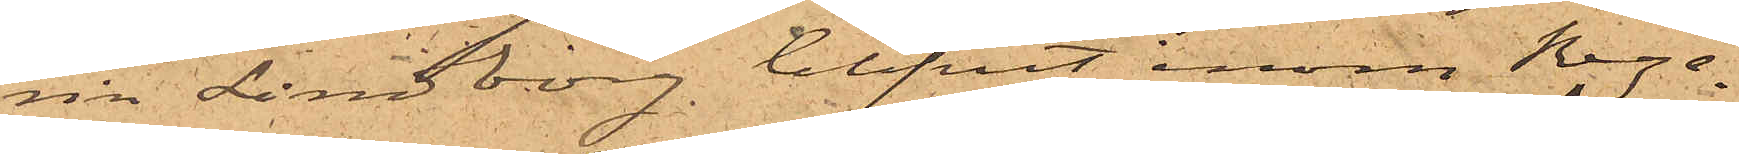rin Lindborg blifvit inom Rege¬
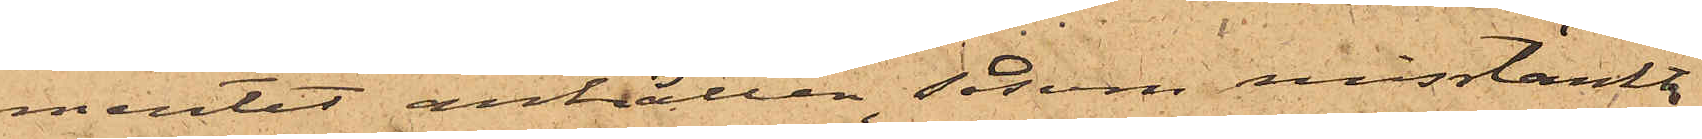mentet anhållen, såsom misstänkt
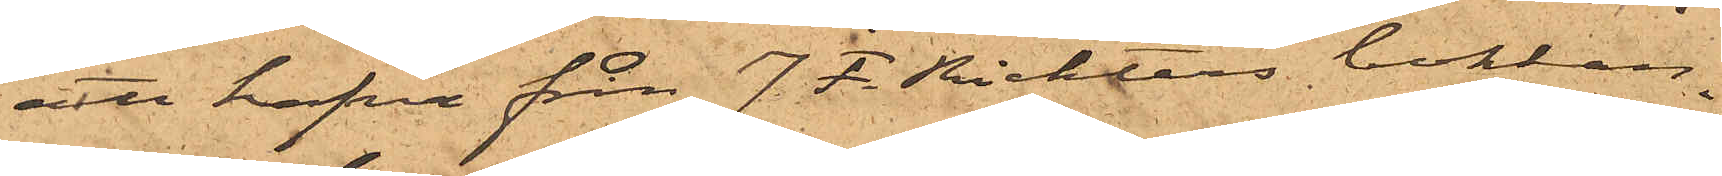att hafva från J. F. Richters bokhan¬
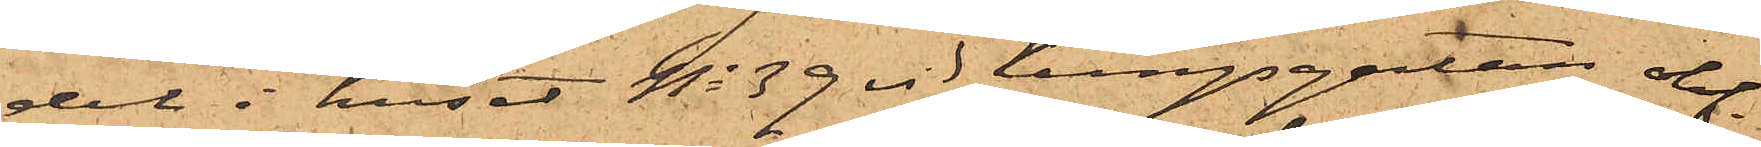del i huset No 39 vid Kungsgatan olof¬
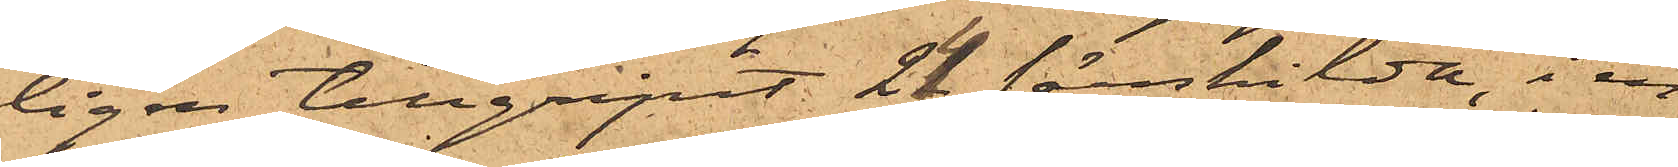ligen tillgripit 24 särskilda, i en
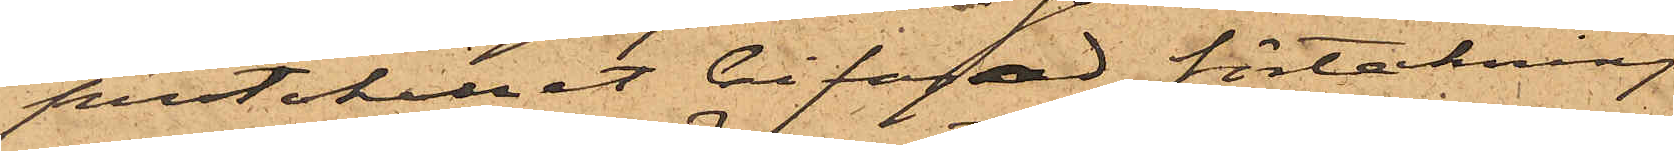protokollet bifogad förteckning
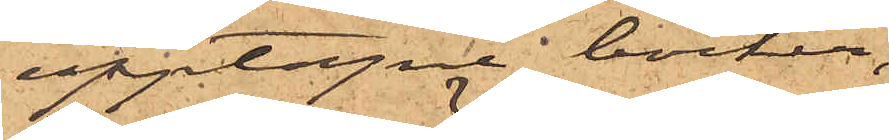upptagne böcker,
